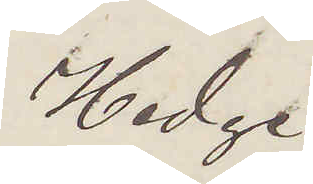Hedge
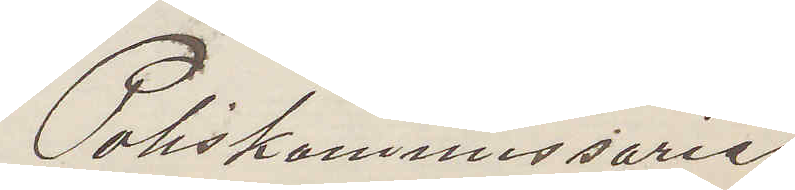Poliskommissarie
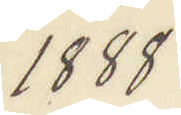1888
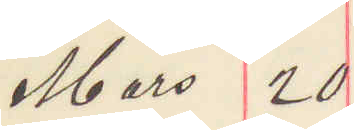Mars 20
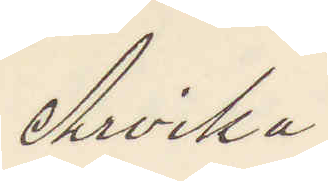Arvika
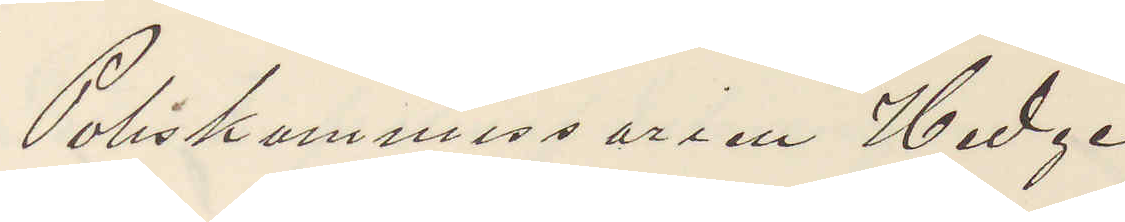Poliskommissarien Hedge
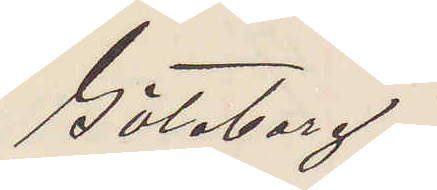Göteborg.
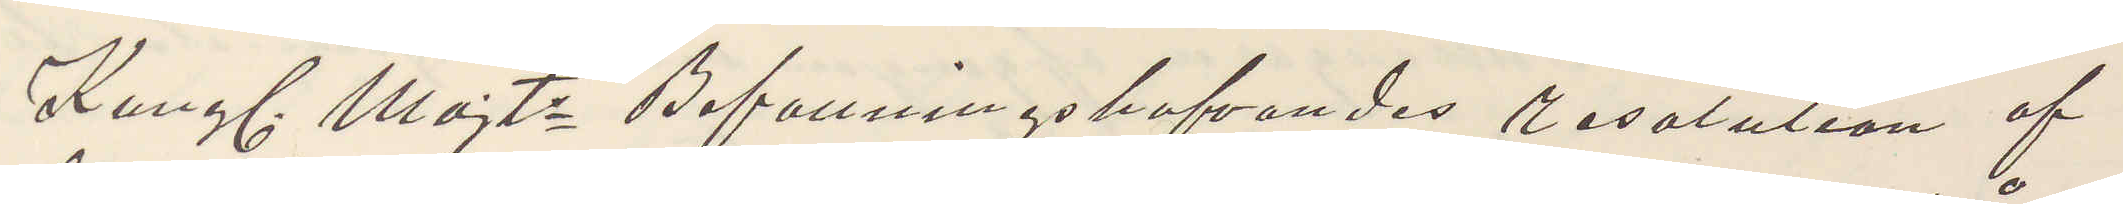Kungl. Majts Befattningshafvandes resolution af
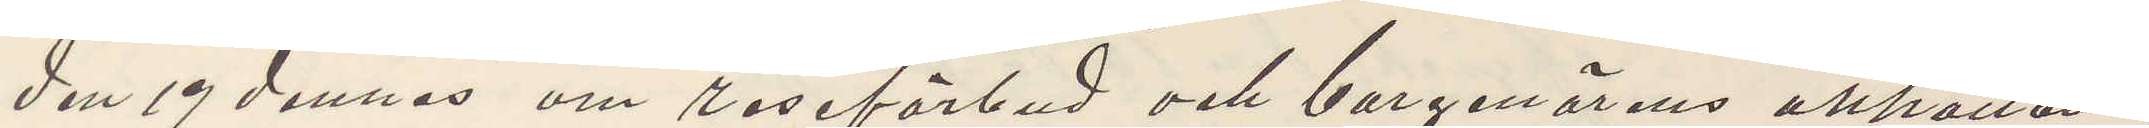den 19 dennes om reseförbud och borgenärens anhållan
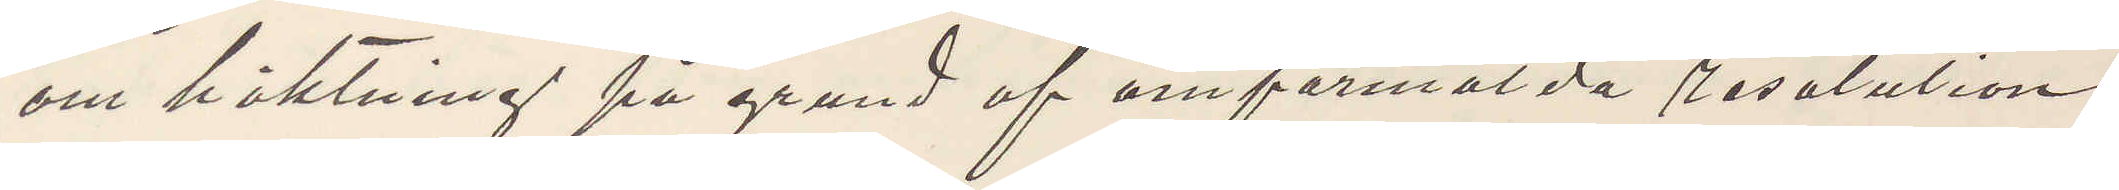om häktning på grund af omförmälda resolution.
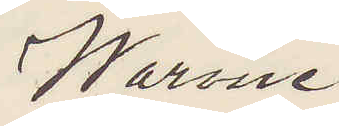Warme
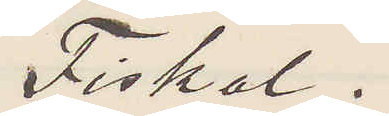Fiskal.
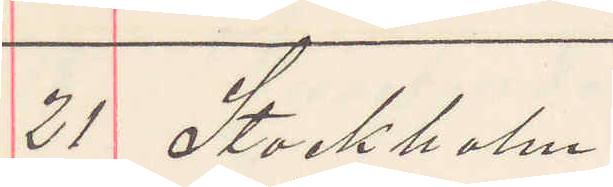21. Stockholm.
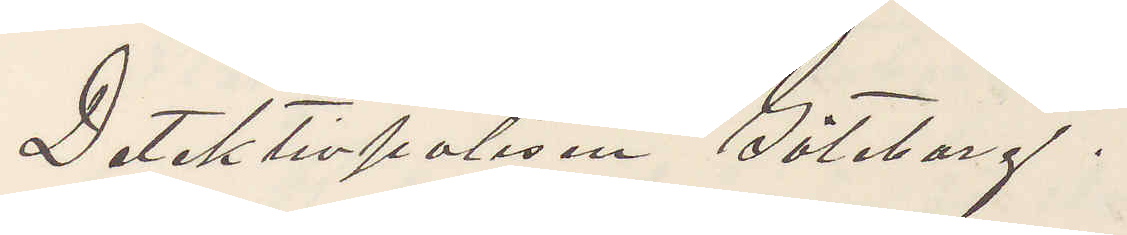Detektivpolisen Göteborg.
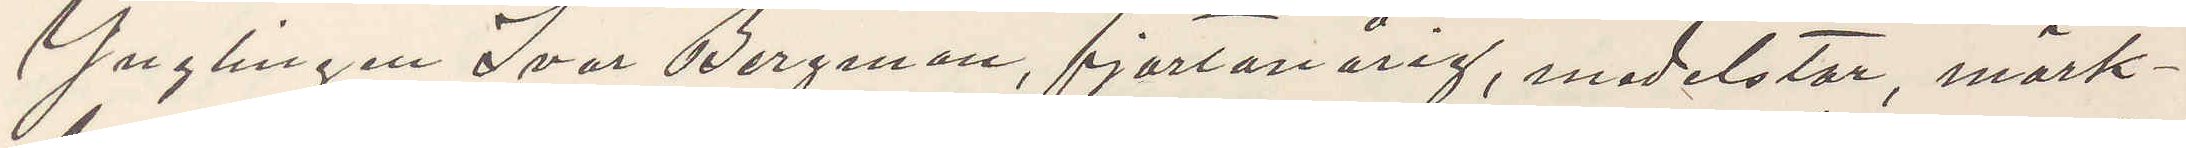Ynglingen Ivar Bergman, fjortonårig, medelstor, mörk¬
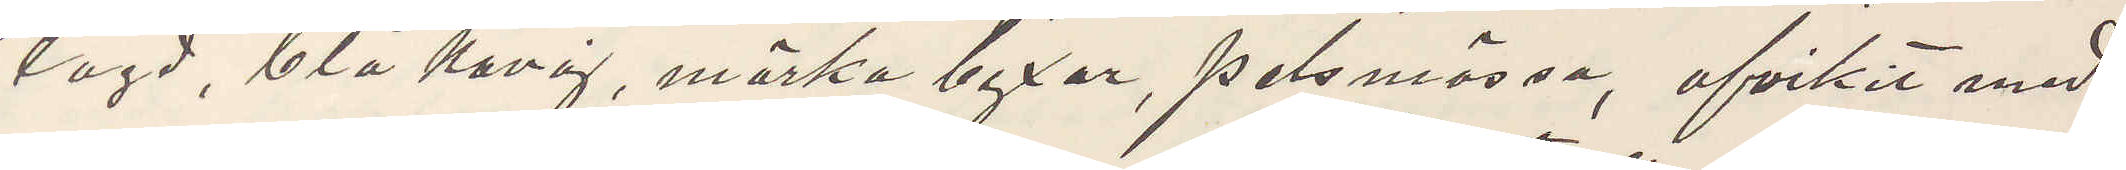lagd, blå Kavaj, mörka byxor, pelsmössa, afvikit med
